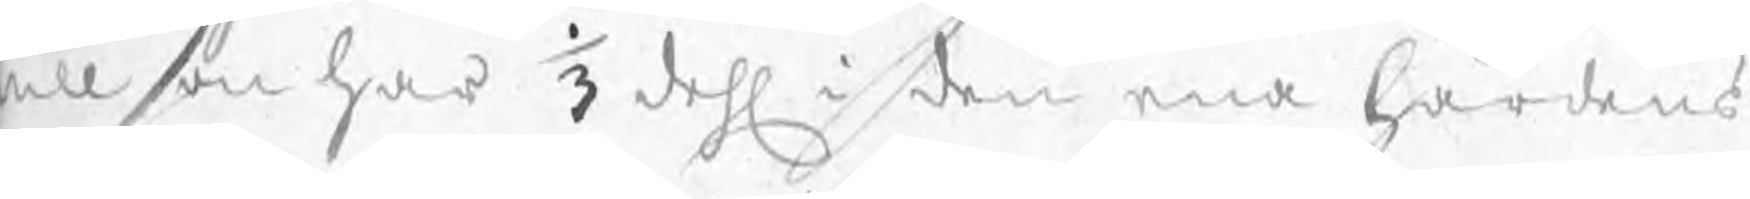illson har 1/3 dehl i den ena härdens
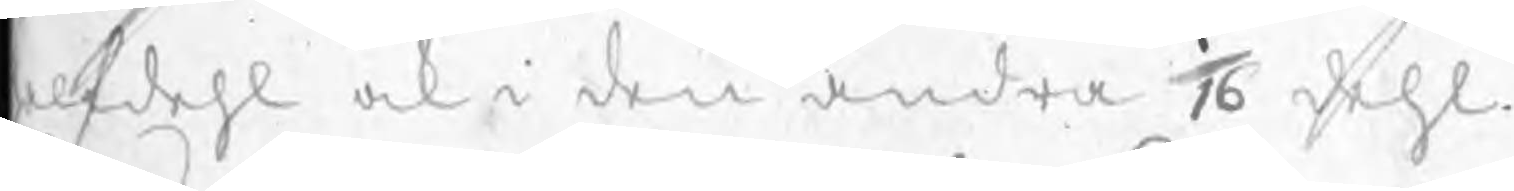alfdehl ock i den andra 1/16 dehl.
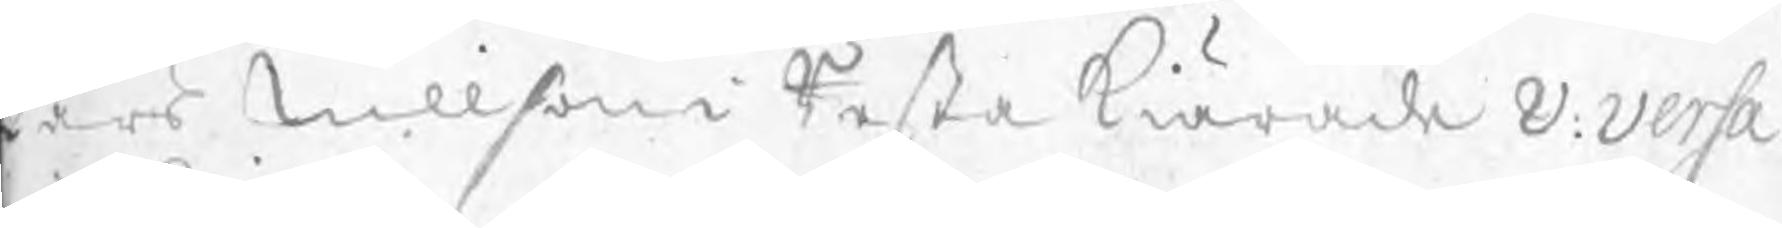Lars Nillson i Resta kiärade v: versa 
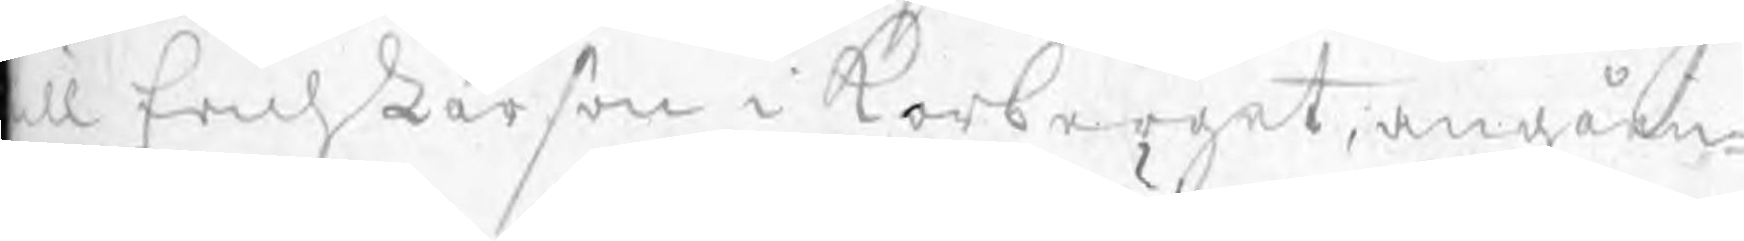ill Erich Larson i Korberget, angåen¬
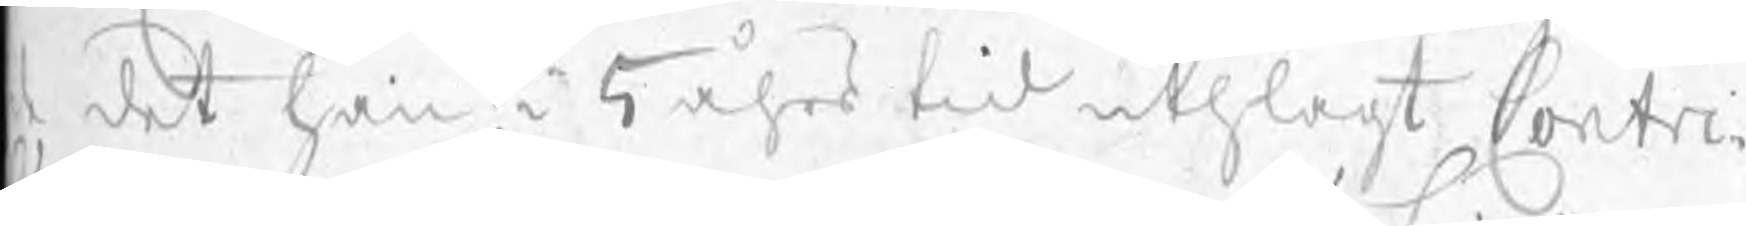de det han i 5 åhrs tid uthlagt Contri¬
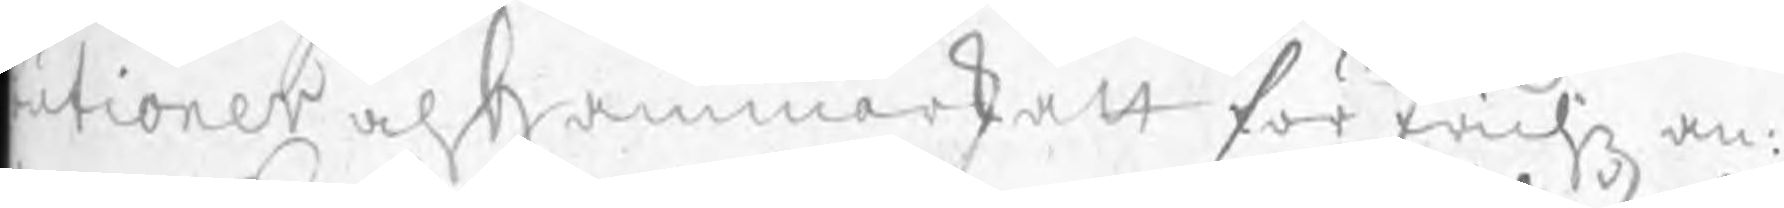butioner och Hammarskatt för Erichz an¬
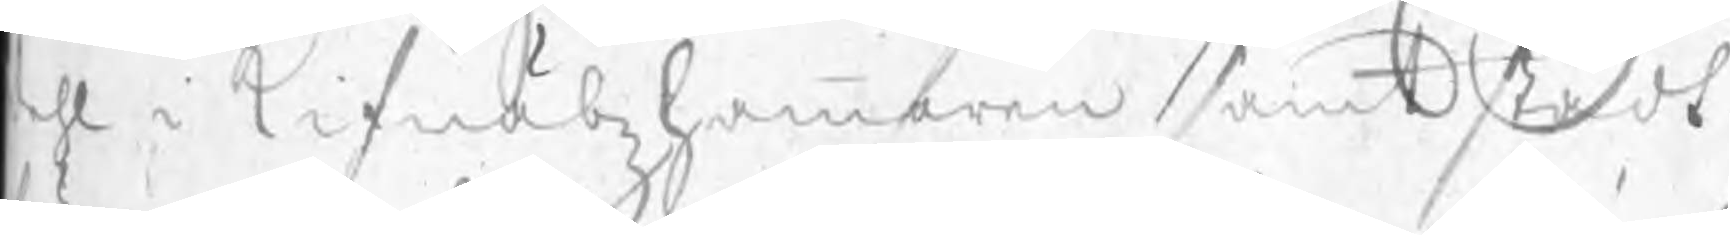dehl i Kifnäbzhammaren samt stådt
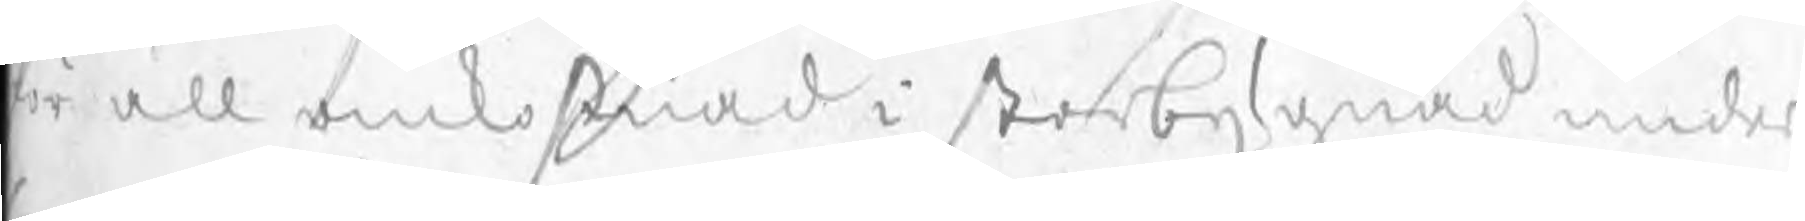för all omkostnad i storbygnad under
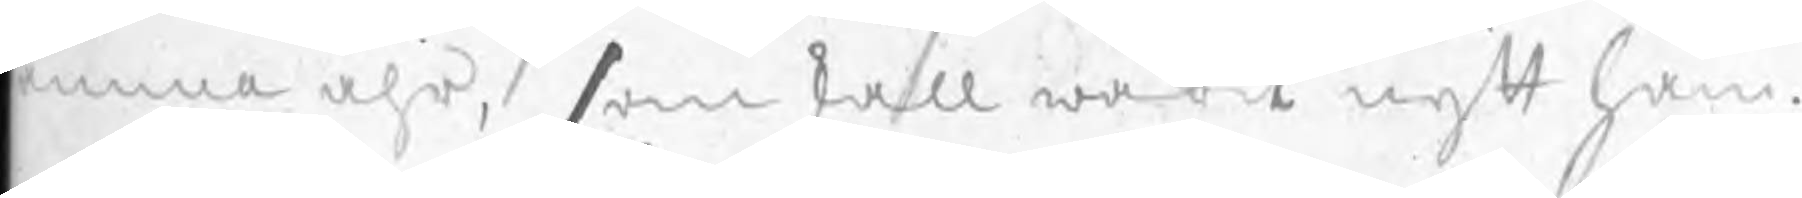amma åhr, som skall warit nytt ham¬
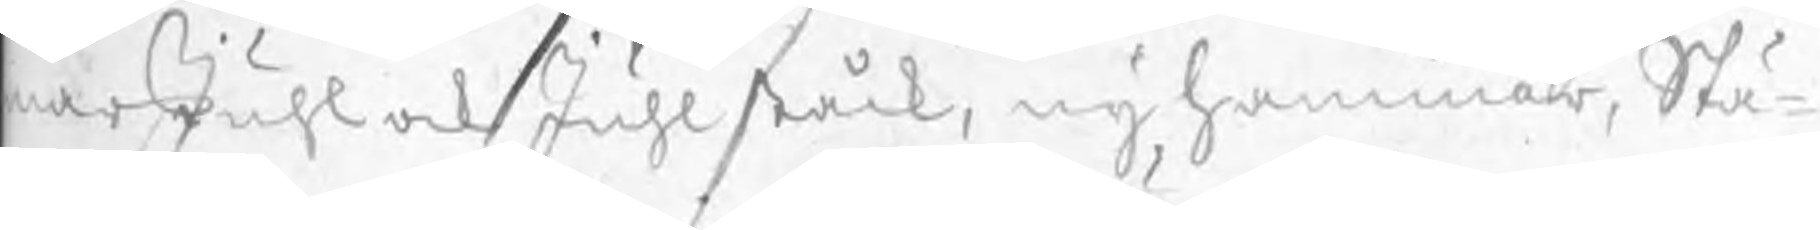marJuhl ock Juhlståck, ny hammar, Stä¬
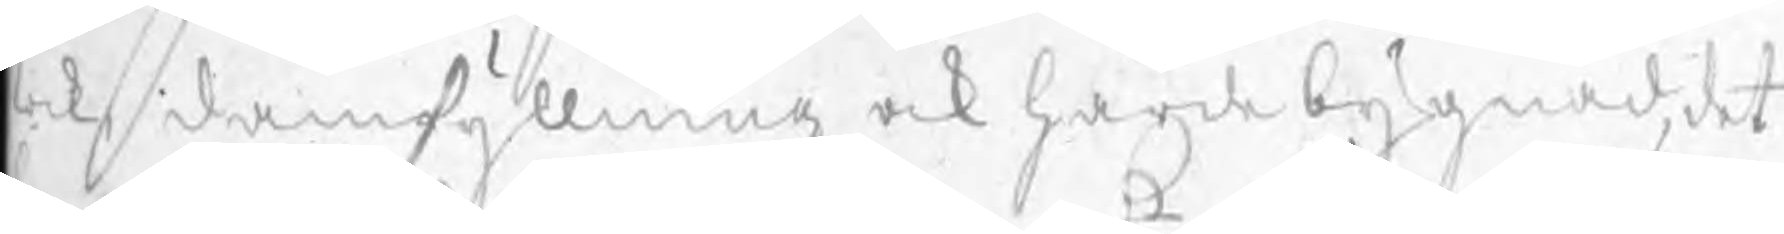ck, damfyllning ock härde bygnad, det
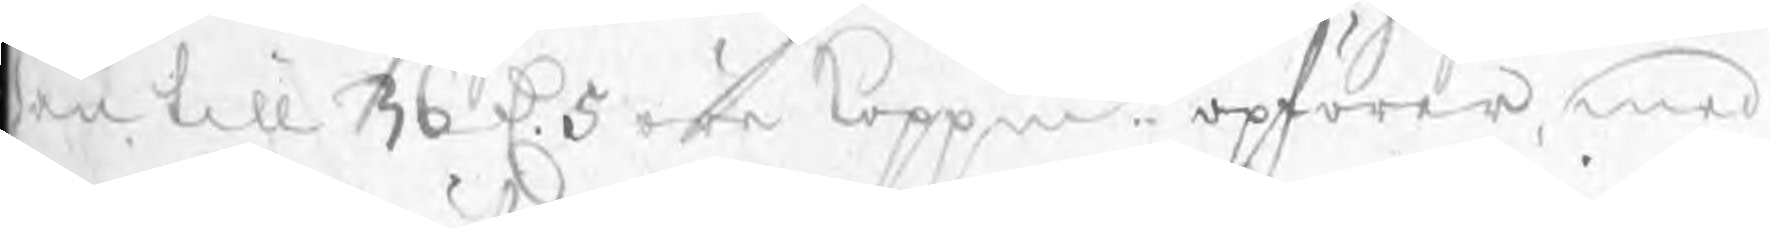han till 36 D 5 öre koppmt opförer, med
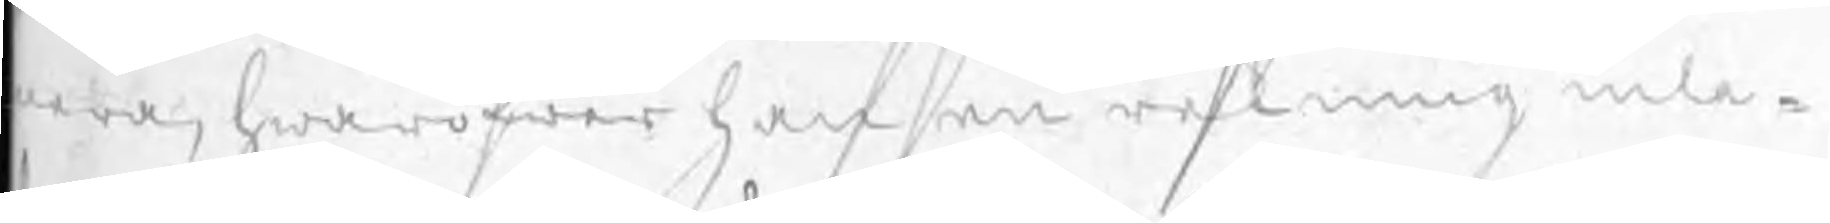mera, hwaröfwer han en rekning inla¬
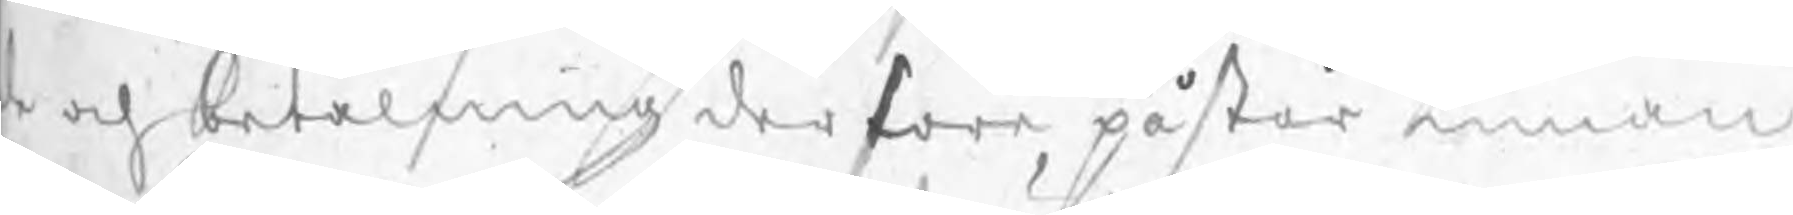de och betalning derföre, påstår innan
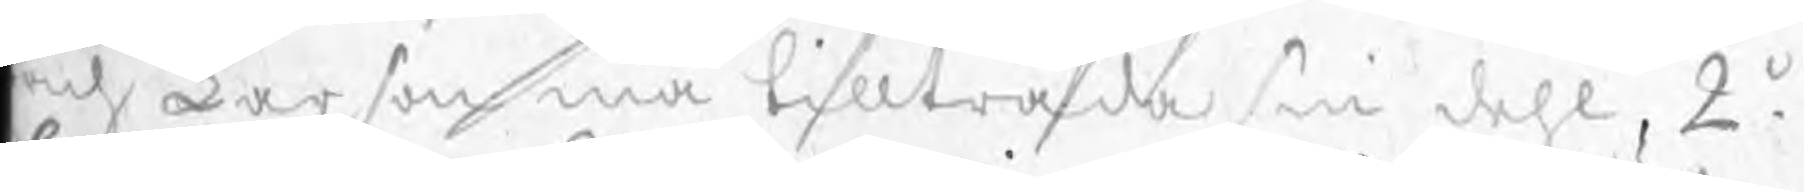Erich Larson må tillträda sin dehl, 2o.
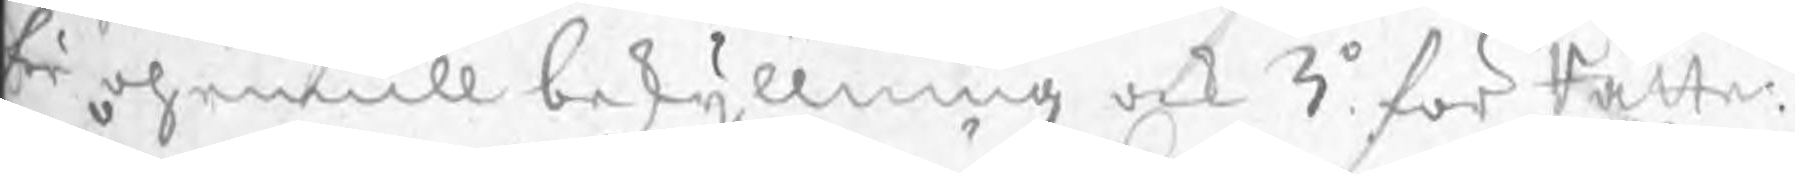för ohemull beskyllning ock 3o för Rätte¬
